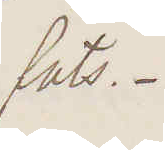fats.
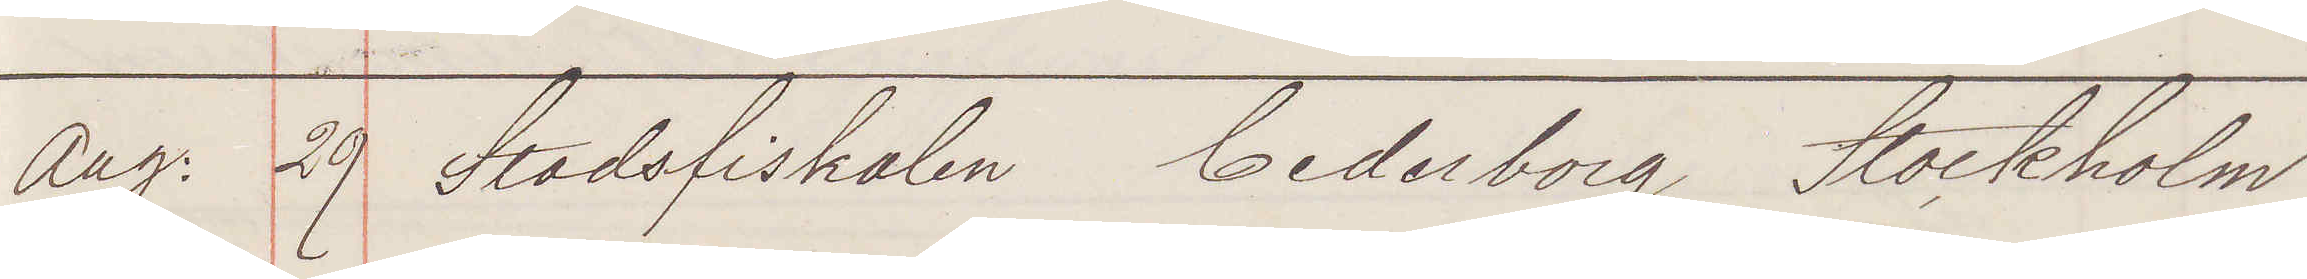Aug: 29 Stadsfiskalen Cederborg Stockholm
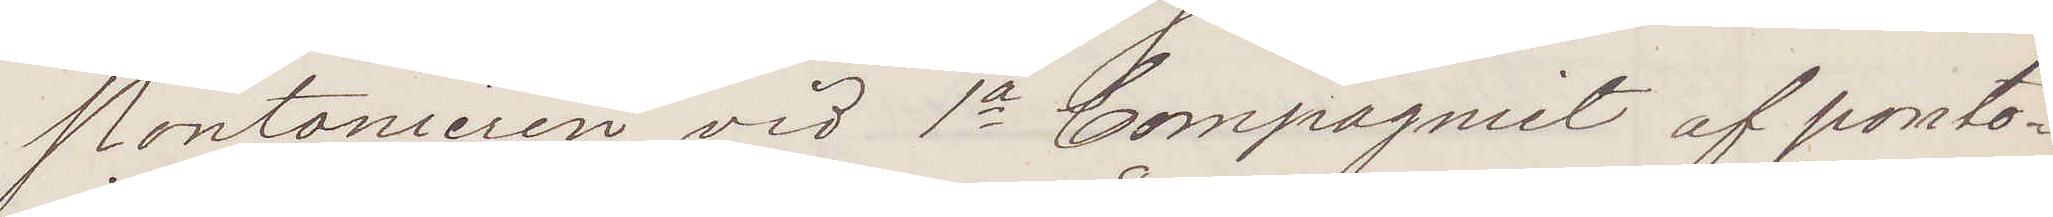Pontonieren vid 1a Compagniet af ponto¬
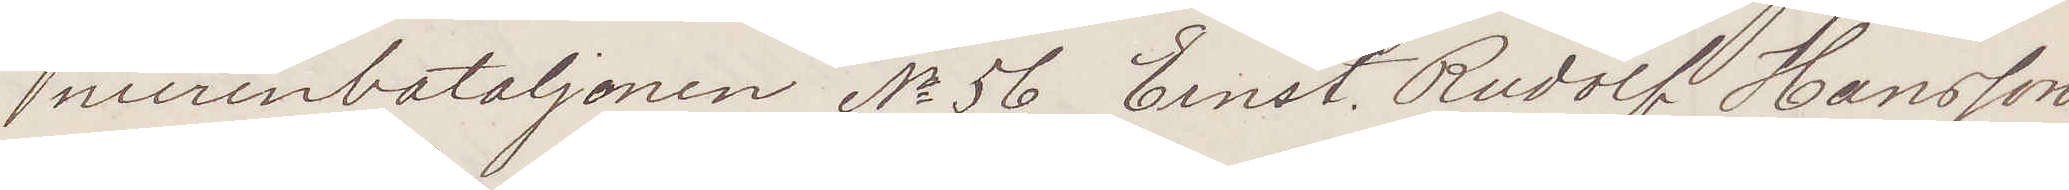nierenbataljonen No 56 Ernst Rudolf Hansson
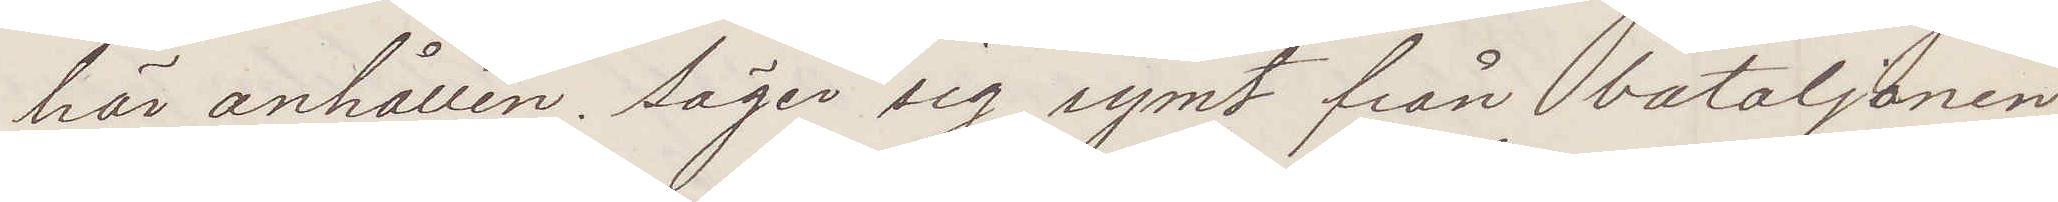här anhållen. Säger sig rymt från bataljonen
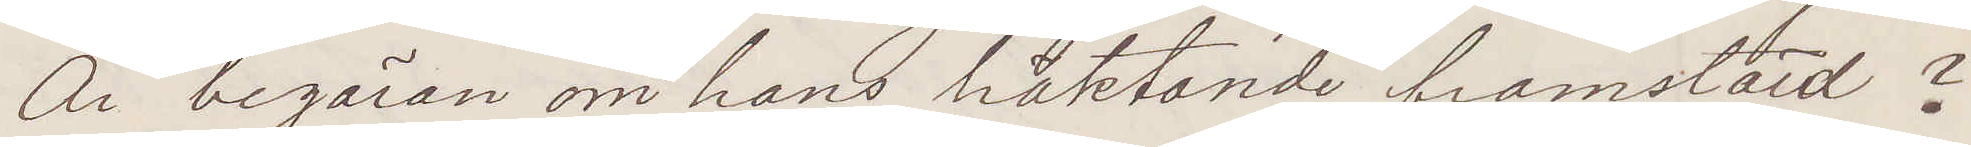Är begäran om hans häktande framstäld?
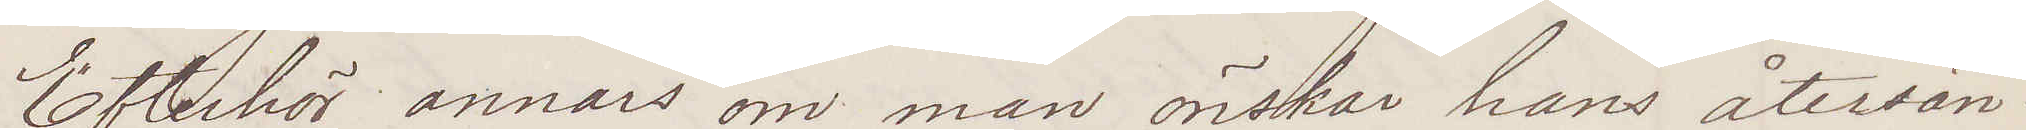Efterhör annars om man önskar hans återsän¬
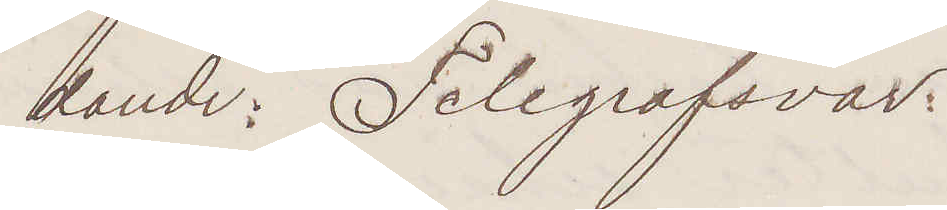dande: Telegrafsvar:
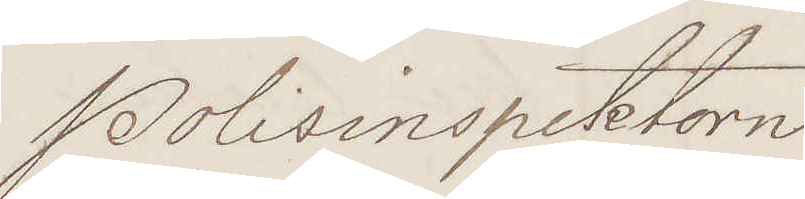Polisinspektorn
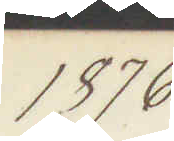1876
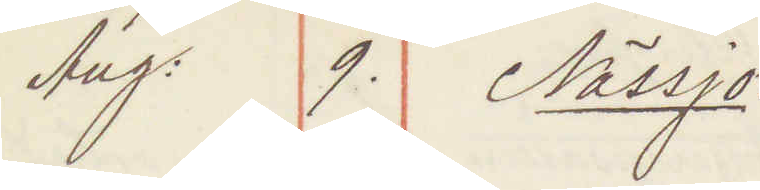Aug: 9. Nässjö:
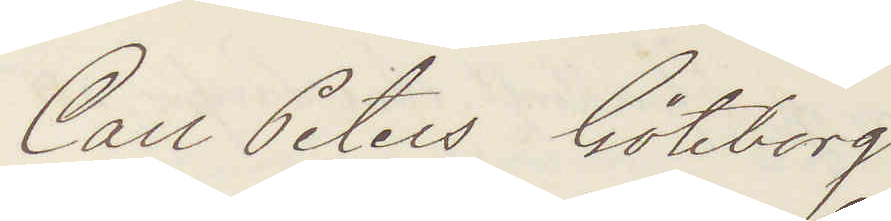Carl Peters Göteborg
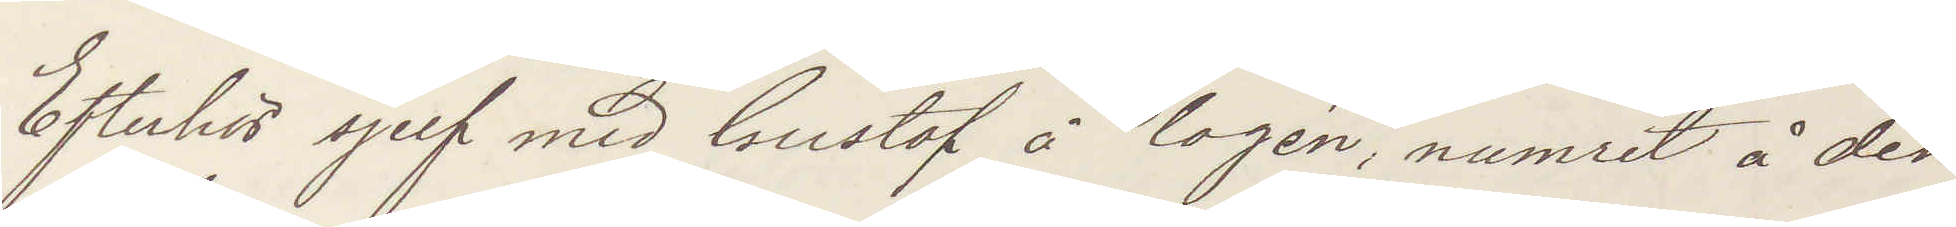Efterhör sjelf med Gustaf å logen, numret å den
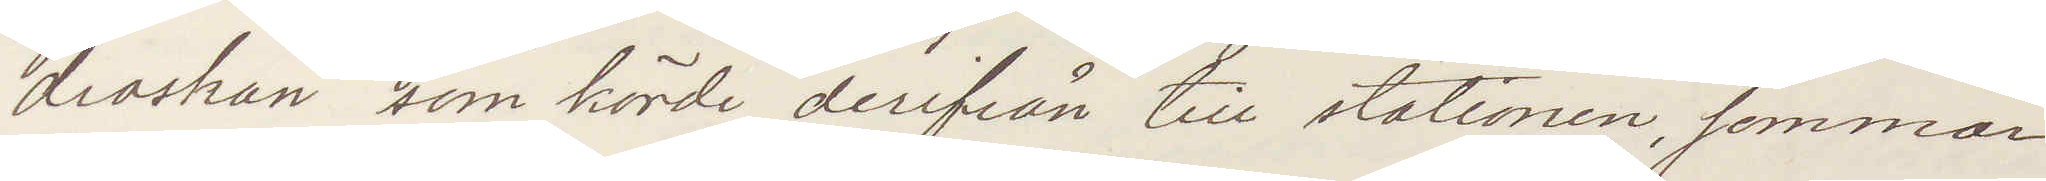droskan som körde derifrån till stationen, sommar¬
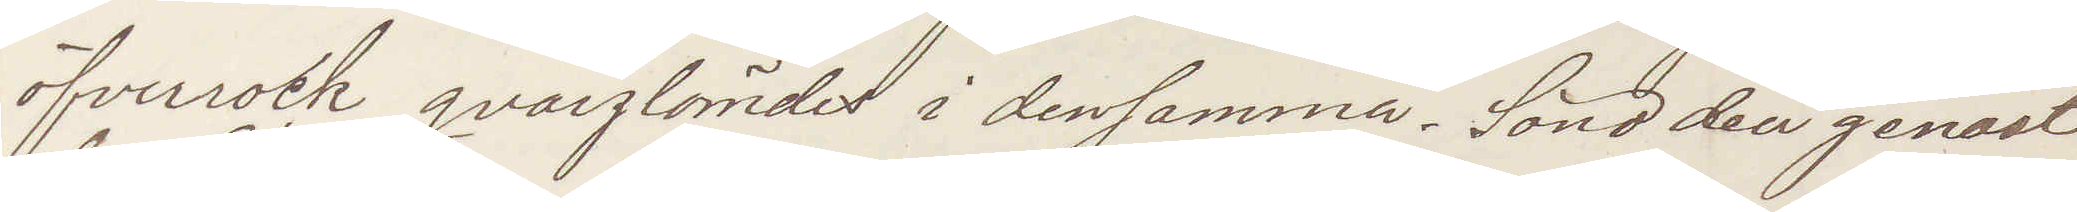öfverrock qvarglömdes i densamma. Sänd den genast
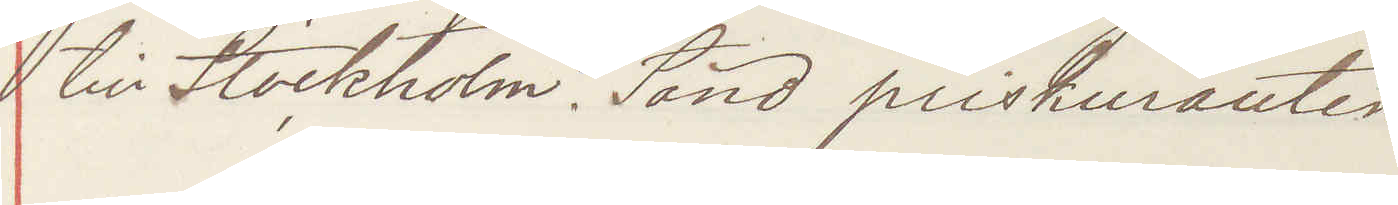till Stockholm. Sänd priskuranten.
